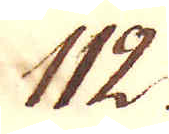112.
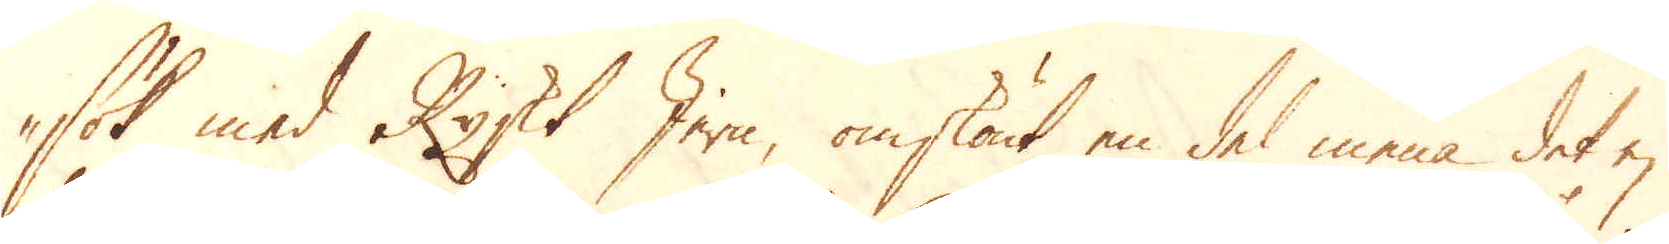sök med Ryskt Jern, omskönt en del mena det ej
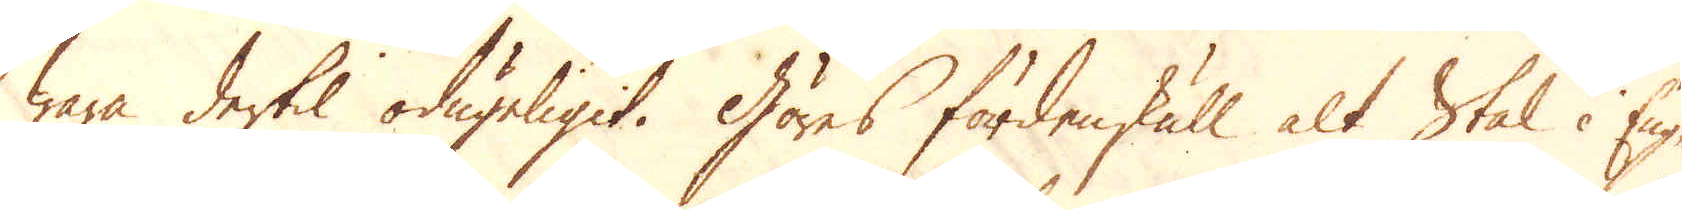wara dertil odugeligit. Göres fördenskull alt Stål i Eng-
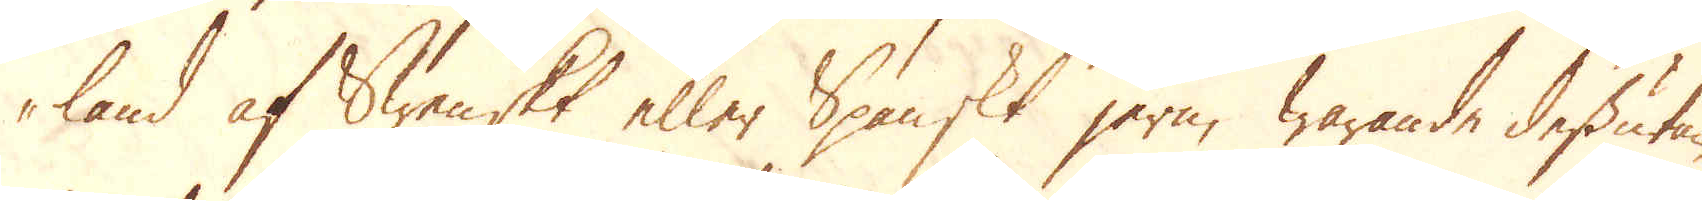land af Swenskt eller Spanskt jern, warande dessutan
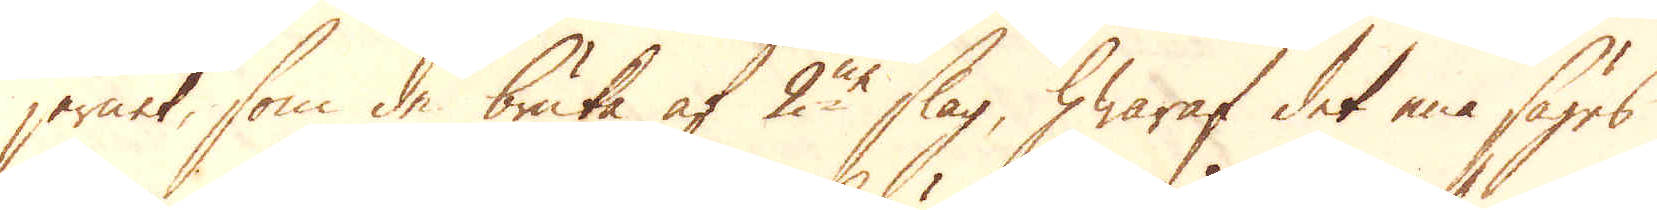jernet, som de bruka af 2ne slag, hwaraf det ena säges
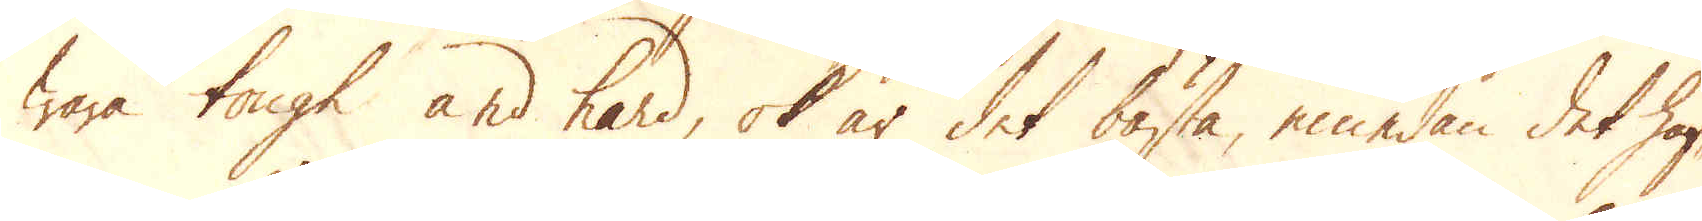wara tough and hard, ok är det bästa, emedan det haf-
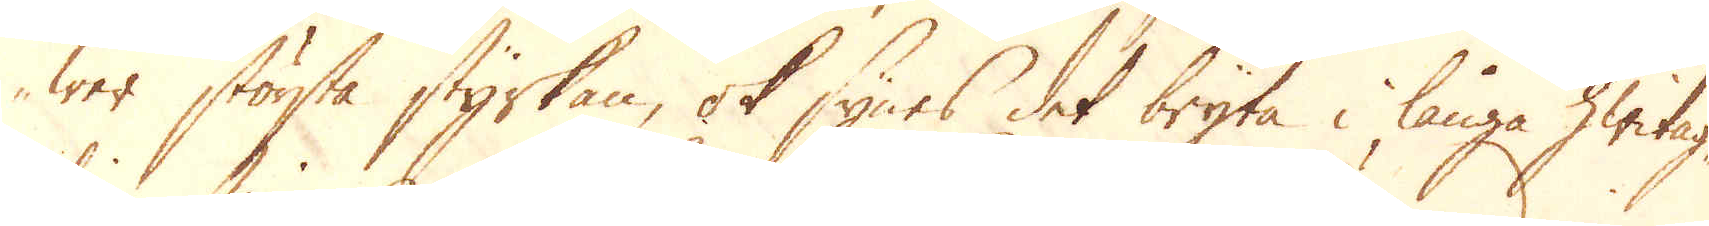wer största styrkan, ok synes det bryta i långa hwitag-
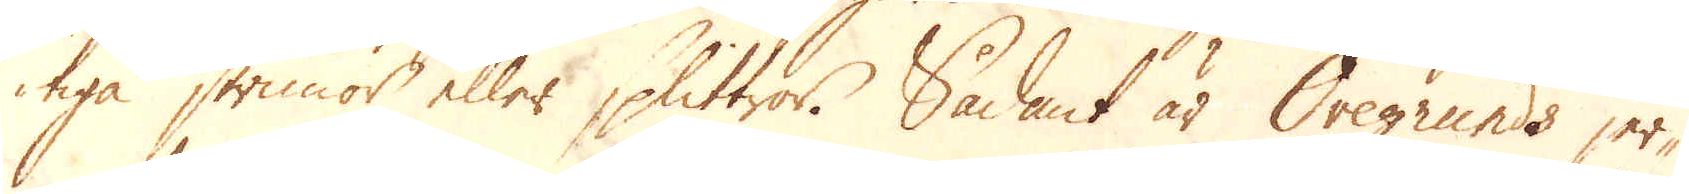tiga strimor eller splittror. Sådant är Öregrunds jer-
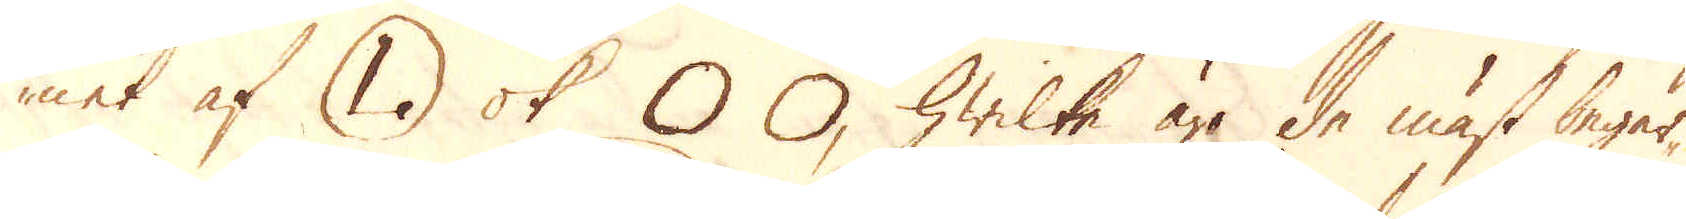net af (L) ok O O, hwilke äro de mäst begär-
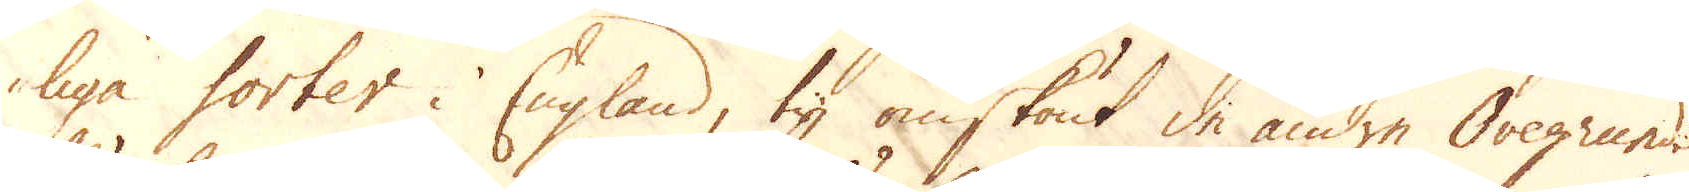liga sorter i England, ty omskönt de andre Öregrunds
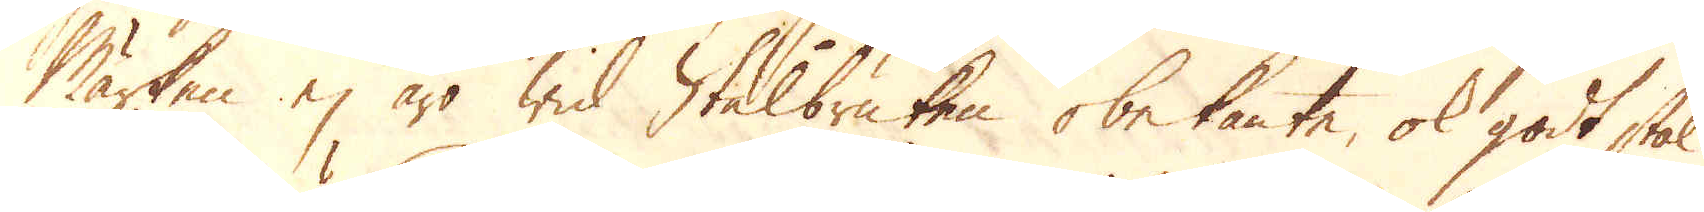Märken ej äro wid Stålbruken obekante, ok godt stål
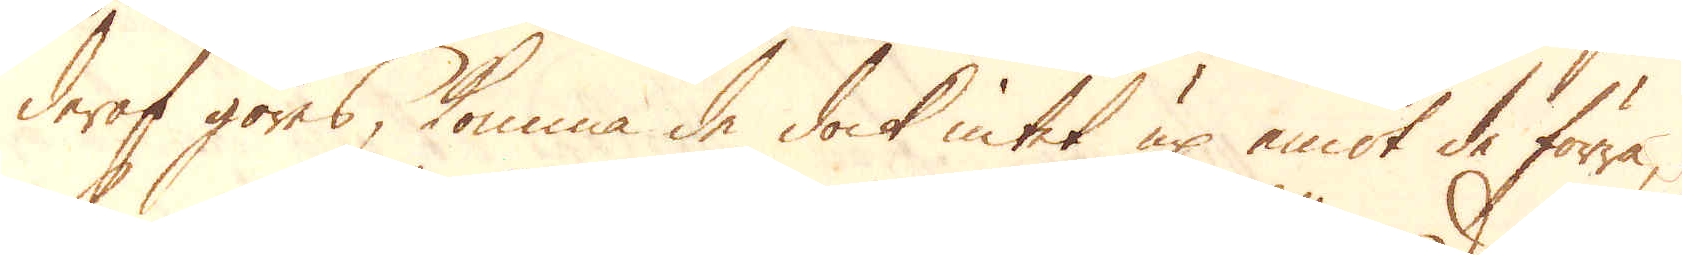deraf göras, komma de dock intet up emot de förra,
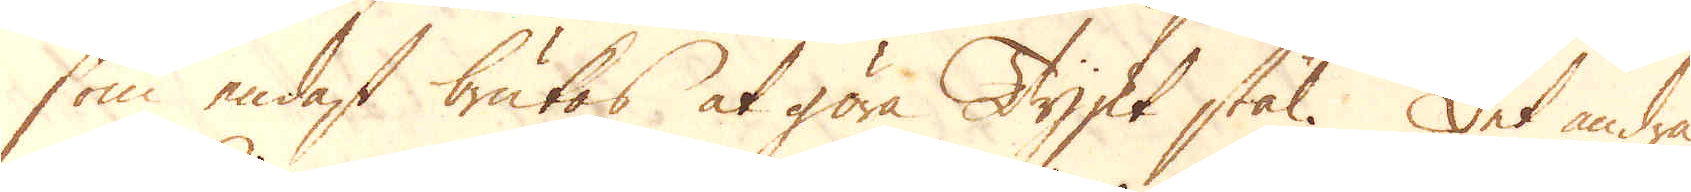som endast brukas at göra Tyskt stål. Det andra
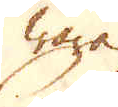wara
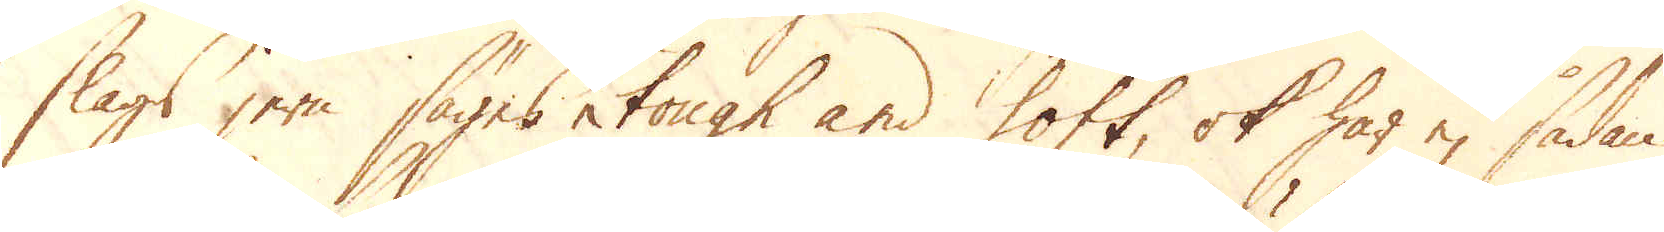slags jern säges tough and soft, ok har ej sådan
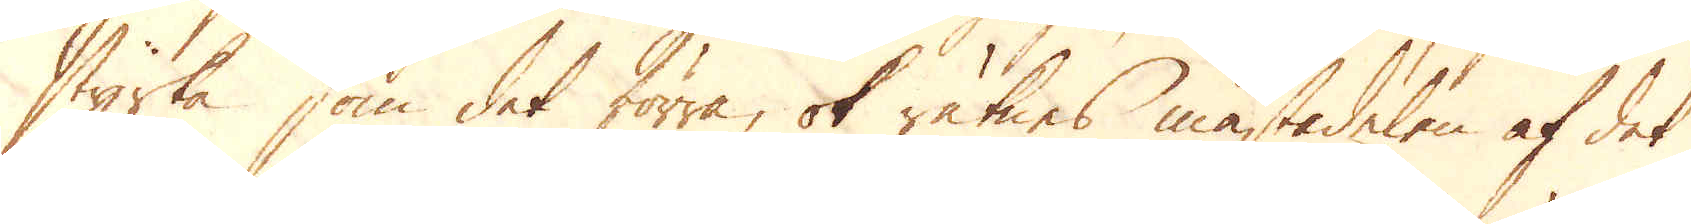styrka som det förra, ok räknes mästadelen af det
